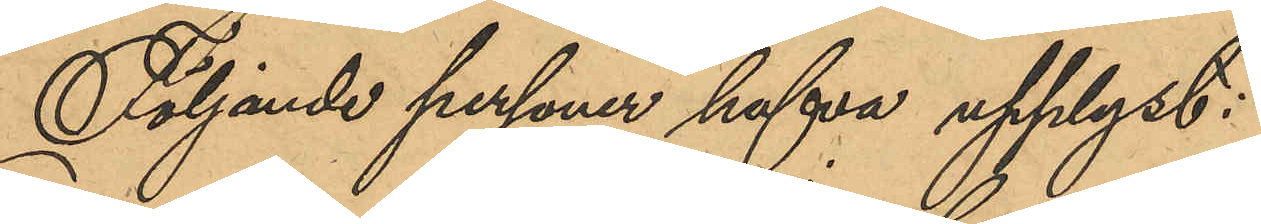Följande personer hafva upplyst:
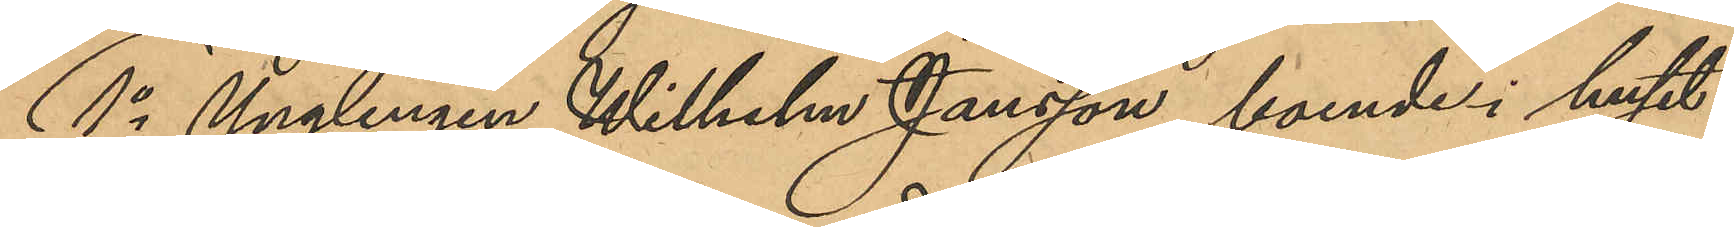1o Ynglingen Wilhelm Jansson, boende i huset
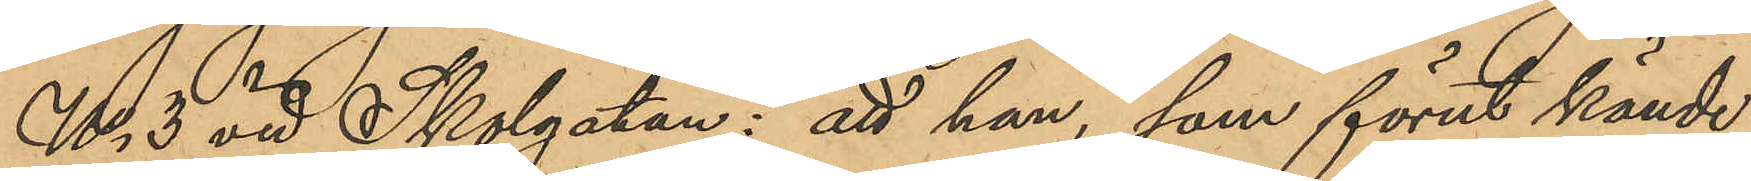No 3 vid Skolgatan: att han, som förut kände
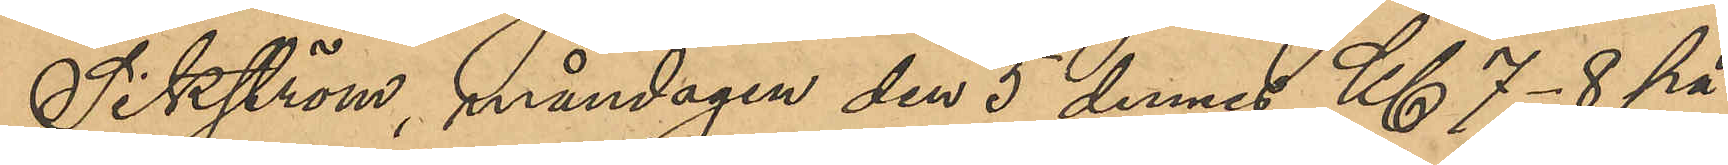Sikström, måndagen den 5 dennes Kl 7-8 på
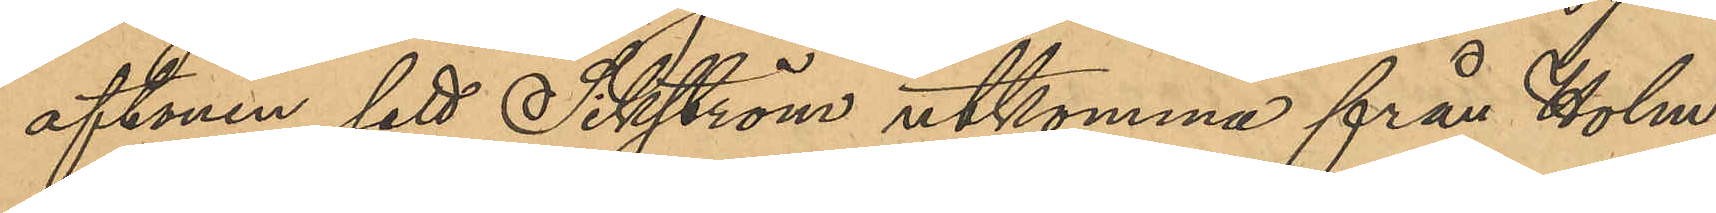aftonen sett Sikström utkomma från Holm¬
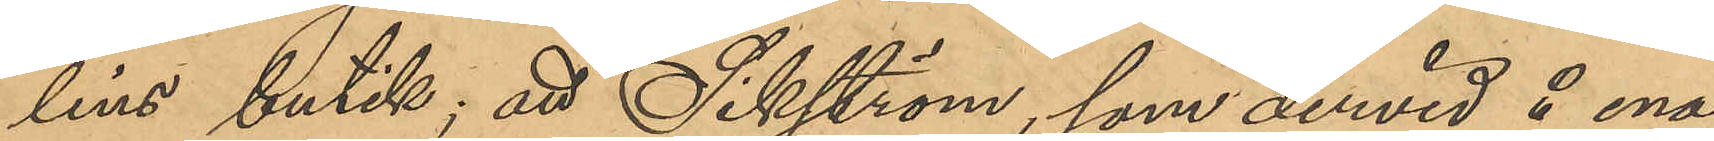lins butik; att Sikström, som dervid å ena
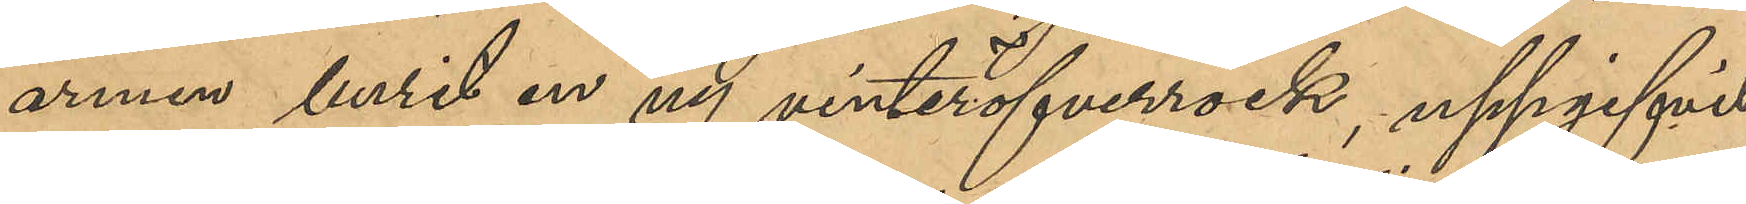armen burit en ny vinteröfverrock, uppgifvit
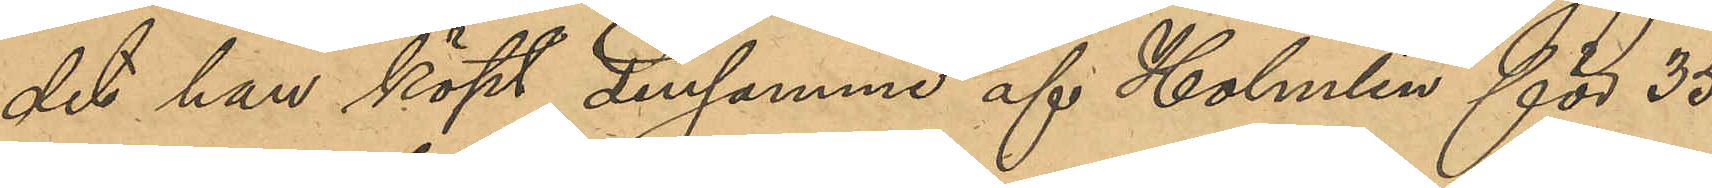det han köpt densamma af Holmlin för 35
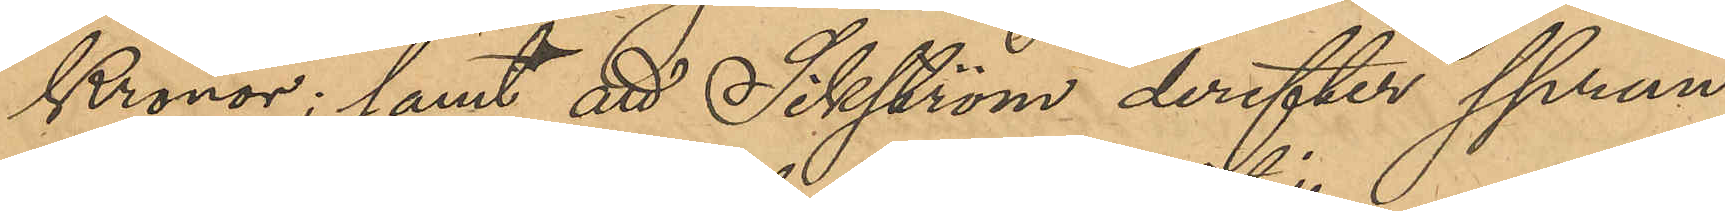Kronor; samt att Sikström derefter sprun¬
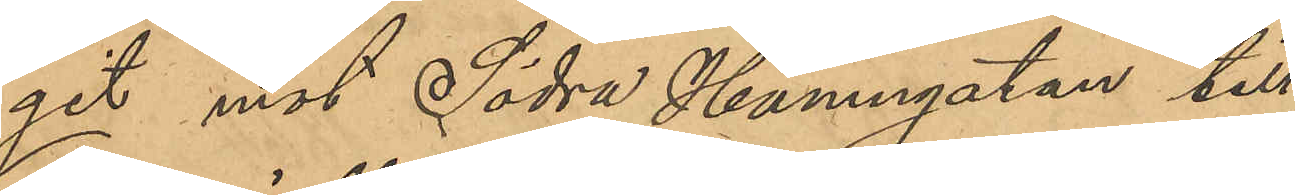git mot Södra Hamngatan till;
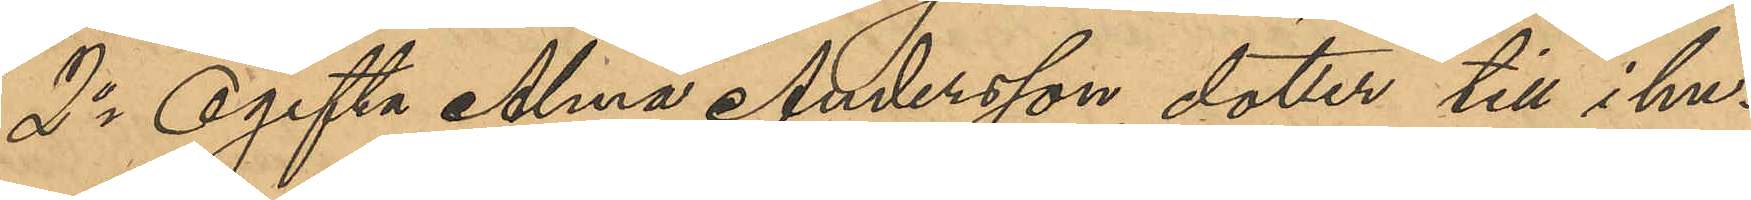2o Ogifta Alma Andersson, dotter till i hu¬
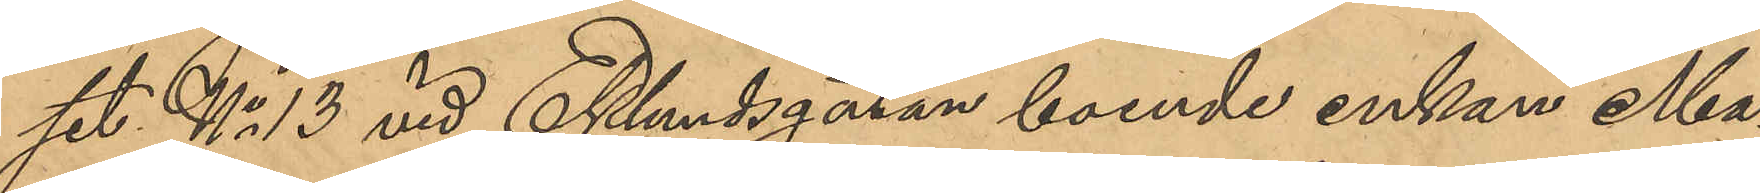set No 13 vid Eklundsgatan boende enkan Ma¬
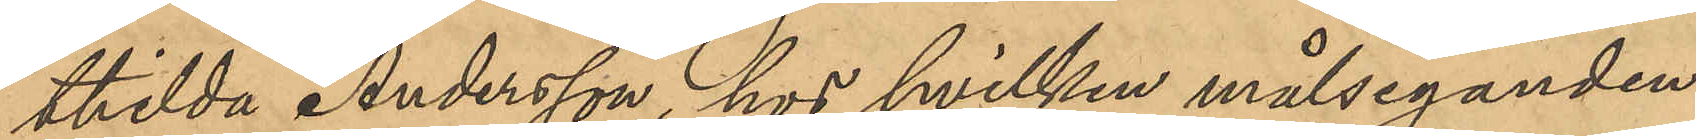thilda Andersson, hos hvilken målseganden
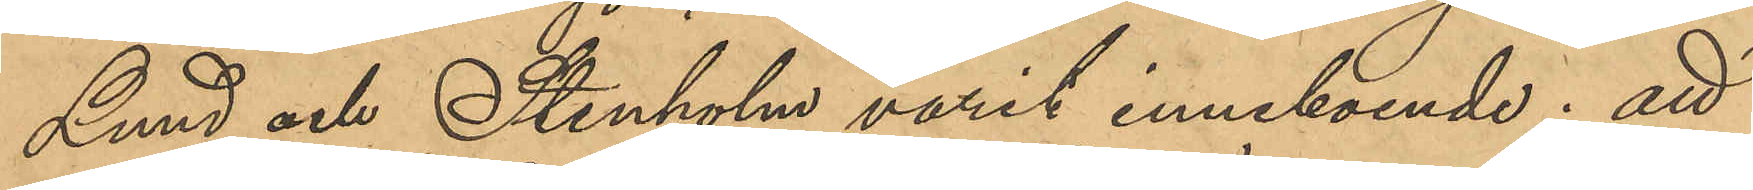Lund och Stenholm varit inneboende; att
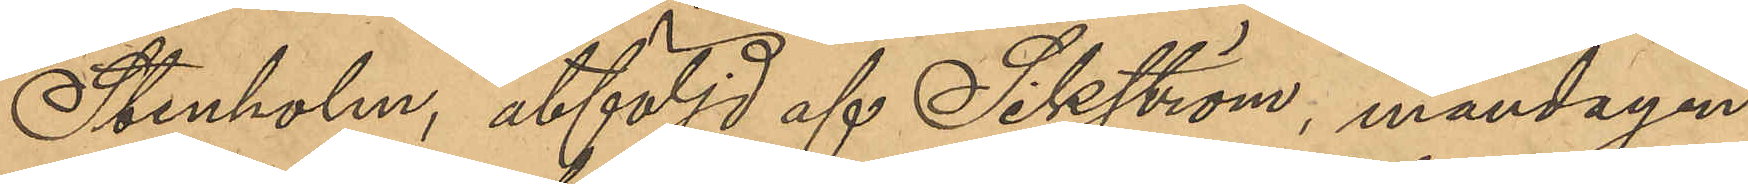Stenholm åtföljd af Sikström, måndagen
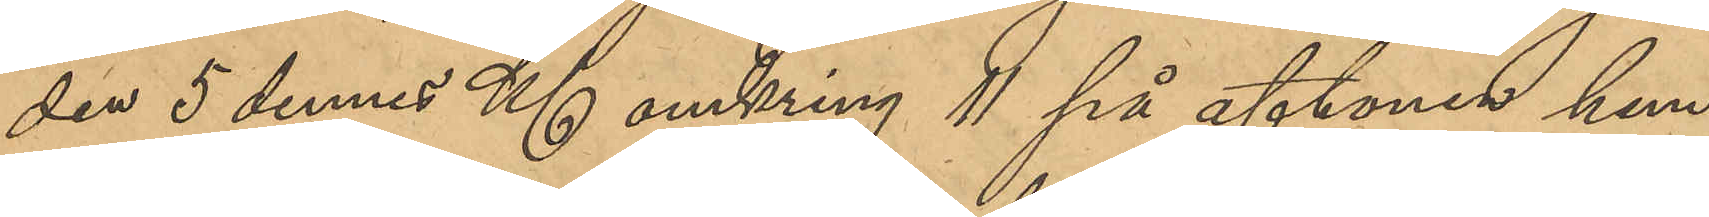den 5 dennes Kl omkring 11 på aftonen hem¬
